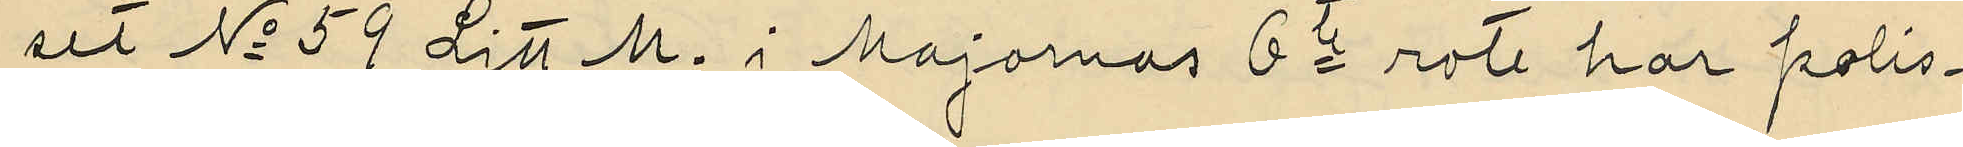set No 59 Litt. M. i Majornas 6te rote har polis¬
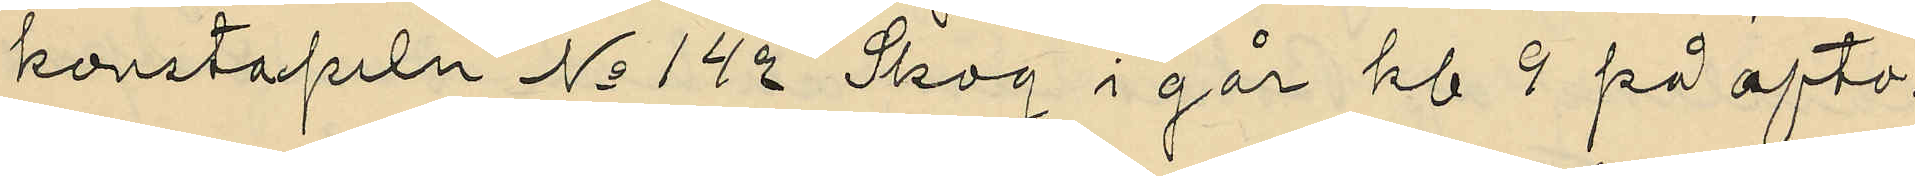konstapeln No 142 Skog i går kl. 9 på afto¬
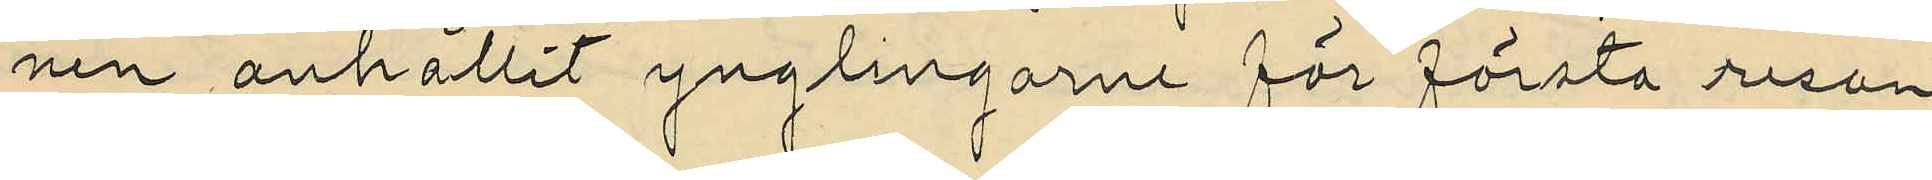nen anhållit ynglingarne för första resan
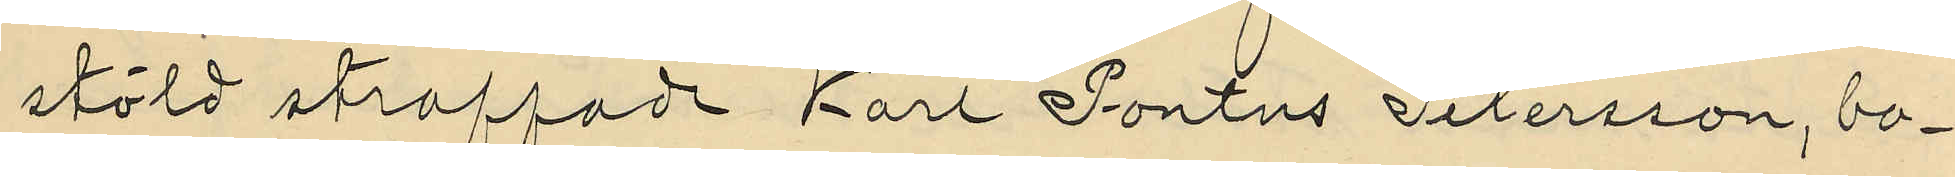stöld straffade Karl Pontus Petersson, bo¬
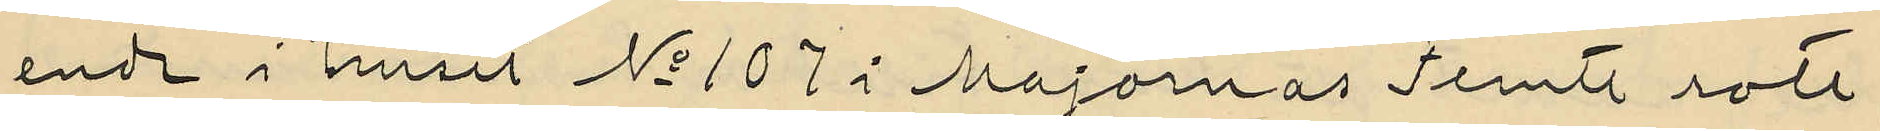ende i huset No 107 i Majornas Femte rote,
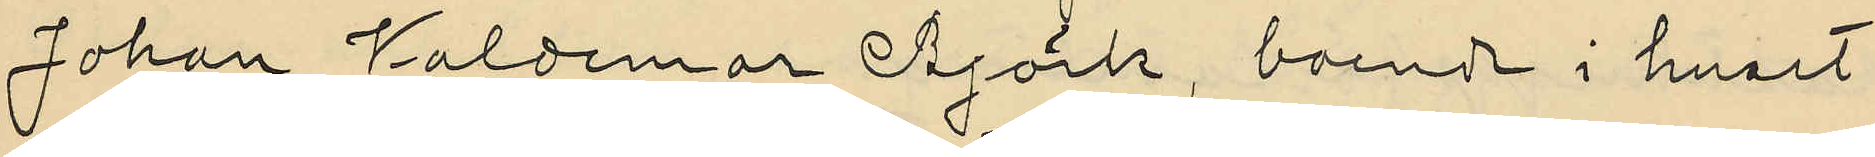Johan Valdemar Björk, boende i huset
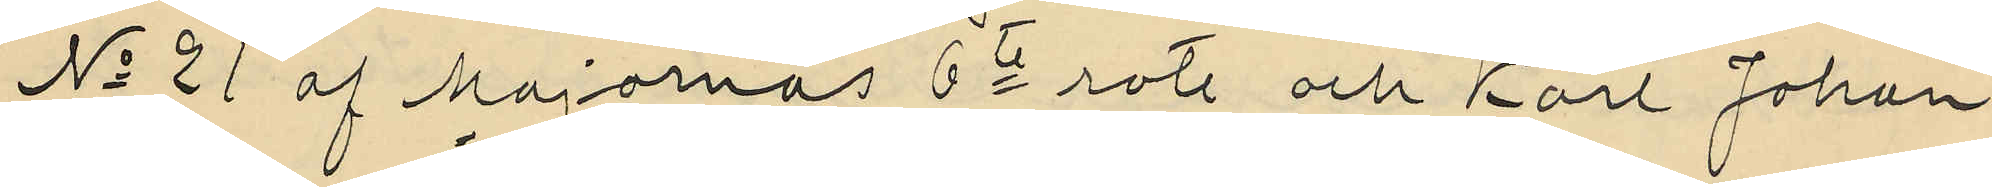No 21 af Majornas 6te rote och Karl Johan
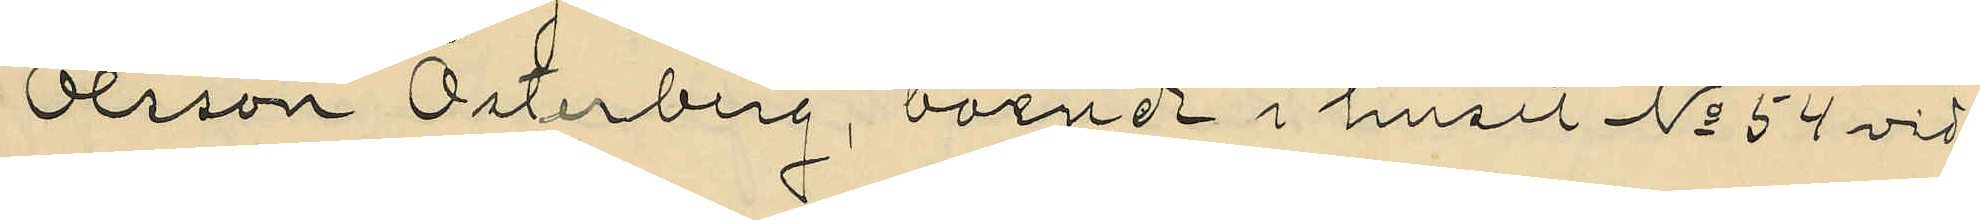Olsson Österberg, boende i huset No 54 vid
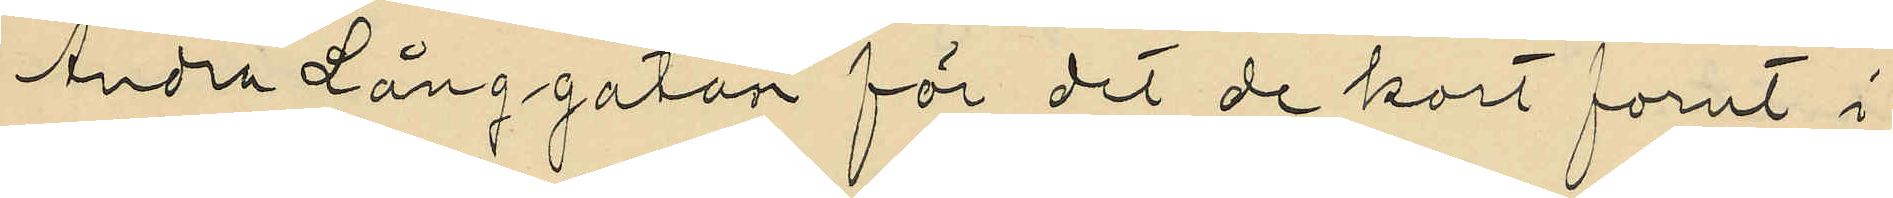Andra Långgatan för det de kort förut i
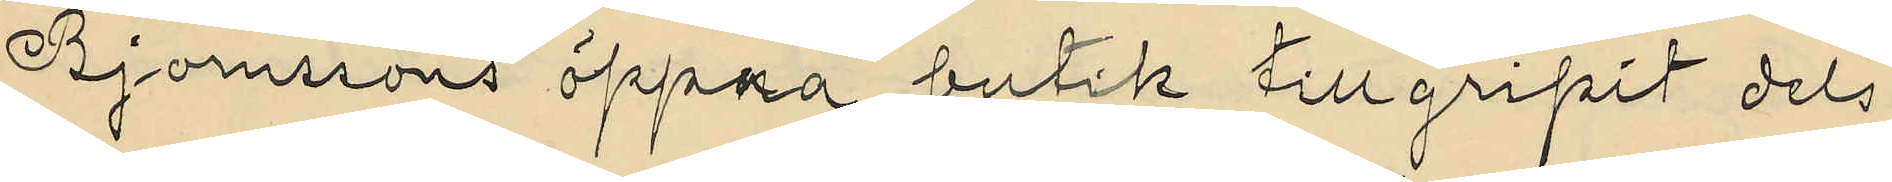Björnssons öppna butik tillgripit dels
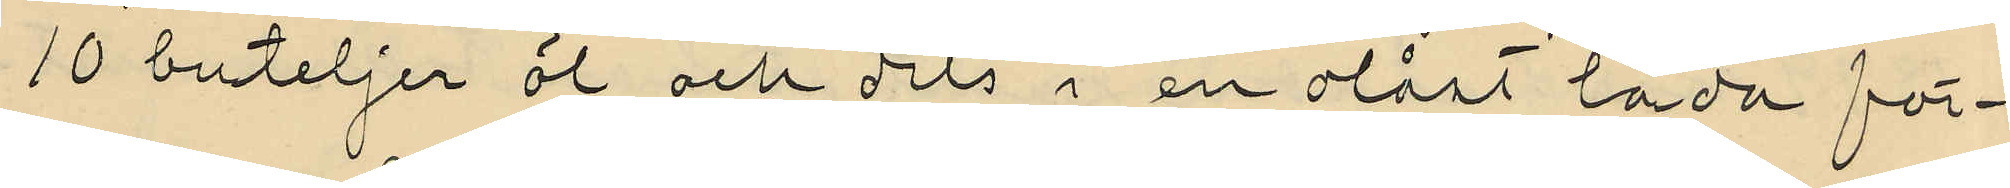10 buteljer öl och dels i en olåst låda för¬
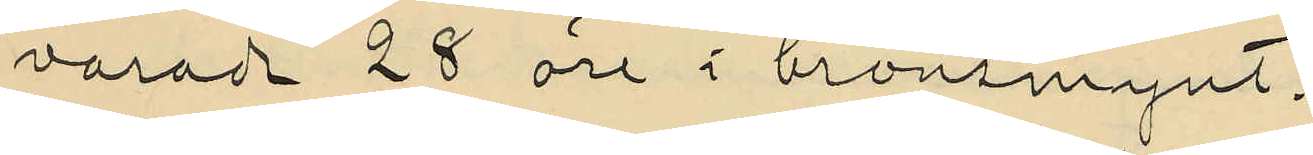varade 28 öre i bronsmynt.
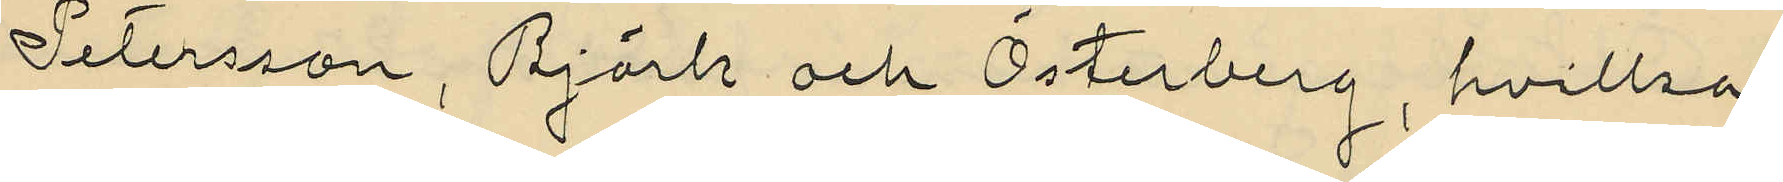Petersson, Björk och Österberg, hvilka
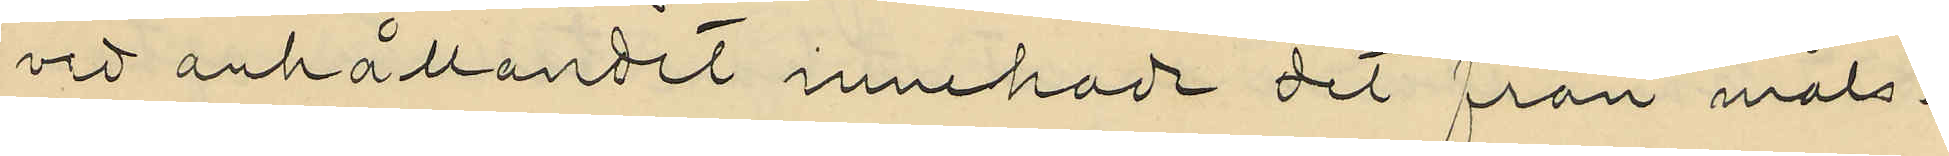vid anhållandet innehade det från måls¬
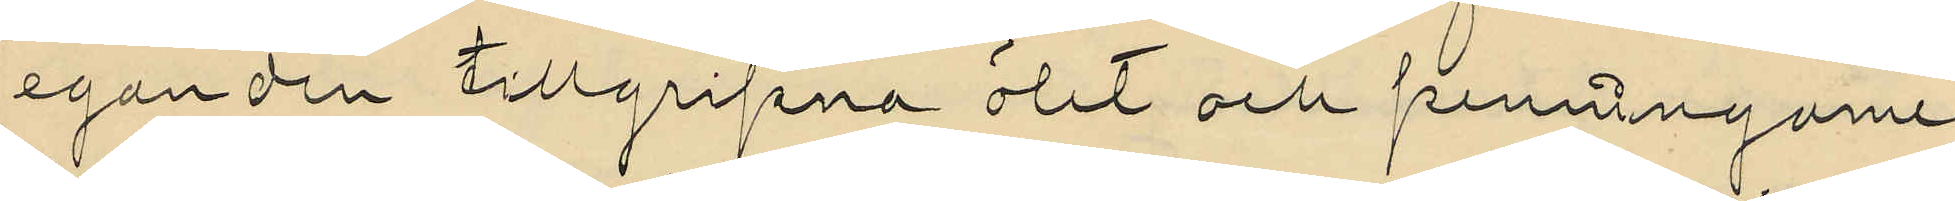eganden tillgripna ölet och penningarne
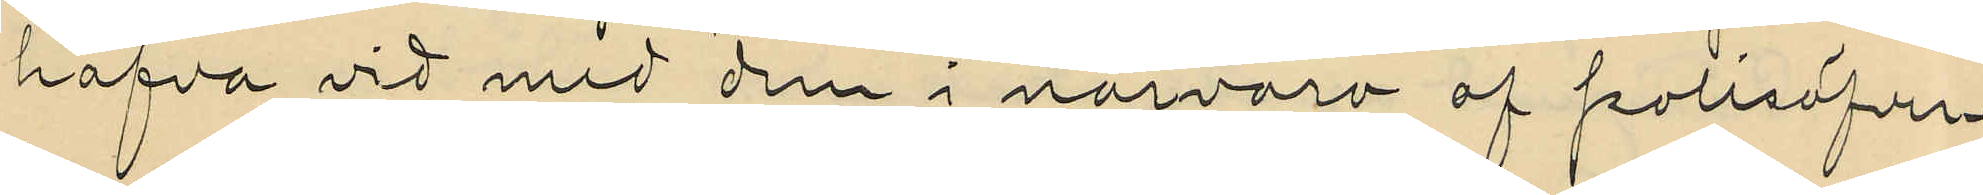hafva vid med dem i närvaro af polisöfver¬
